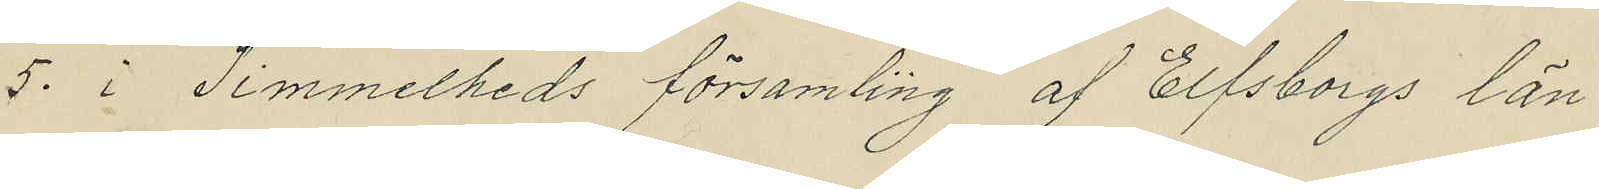5. i Timmelheds församling af Elfsborgs län
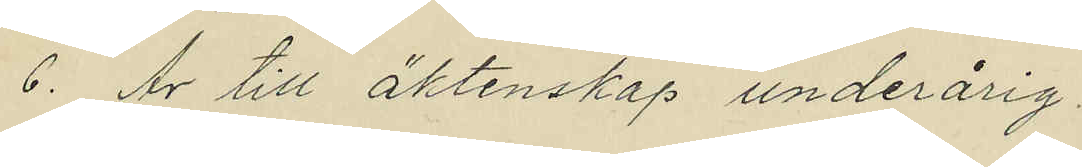6. Är till äktenskap underårig.
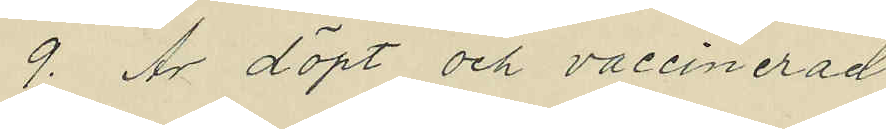9. Är döpt och vaccinerad
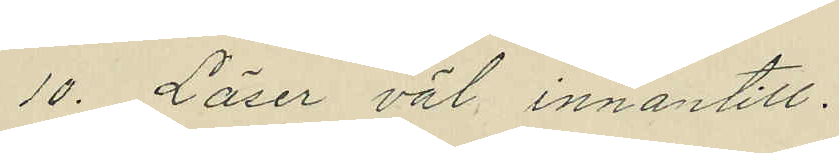10. Läser väl innantill.
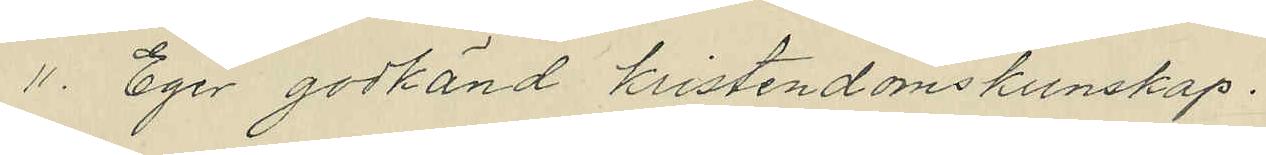11. Eger godkänd kristendomskunskap.
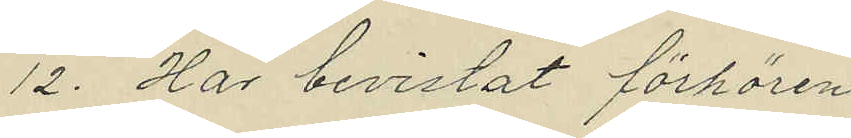12. Har bevistat förhören
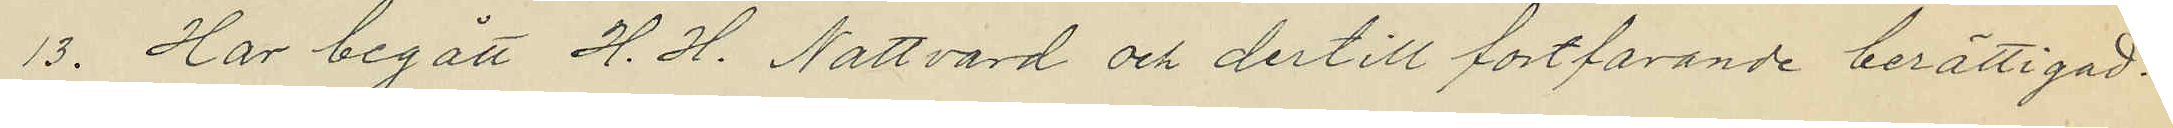13. Har begått H. H. Nattvard och dertill fortfarande berättigad.
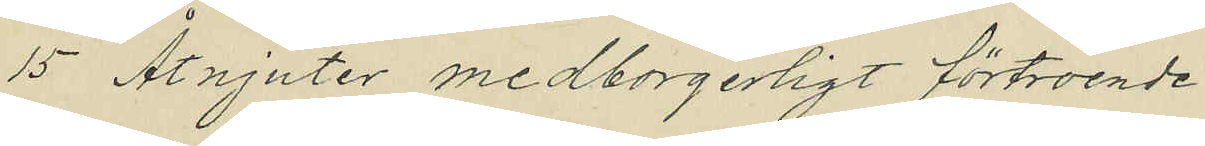15. Åtnjuter medborgerligt förtroende.
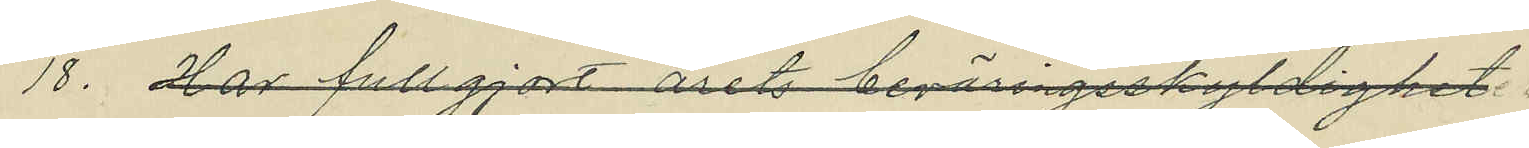18. Har Fullgjort årets beväringsskyldighet
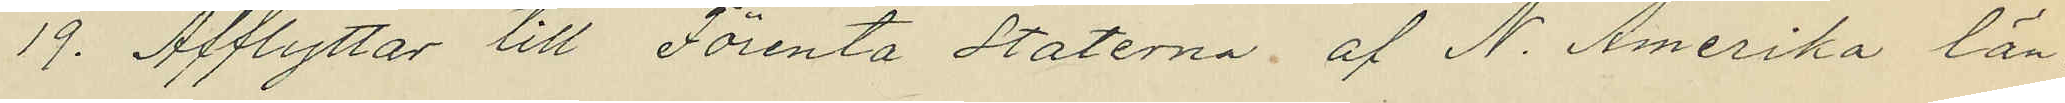19. Afflyttar till Förenta Staterna af N. Amerika län.
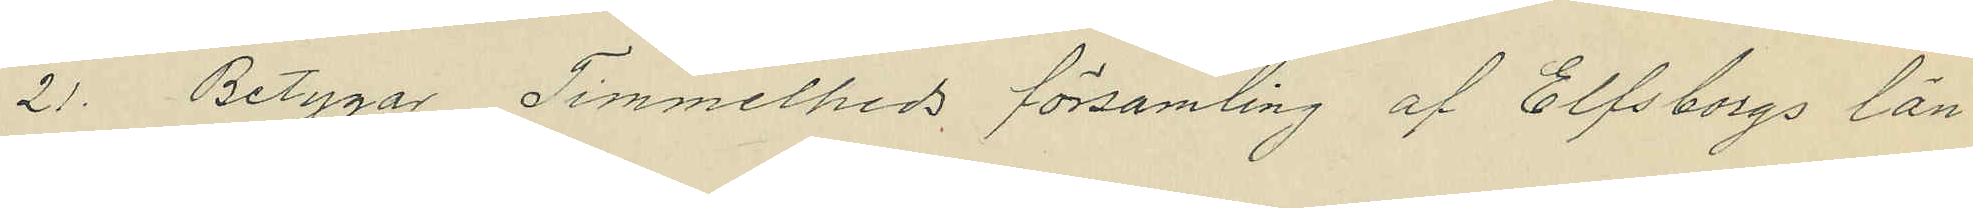21. Betygar Timmelheds församling af Elfsborgs län
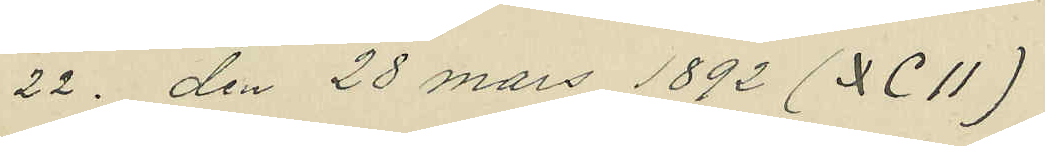22. den 28 mars 1892 (XCII)
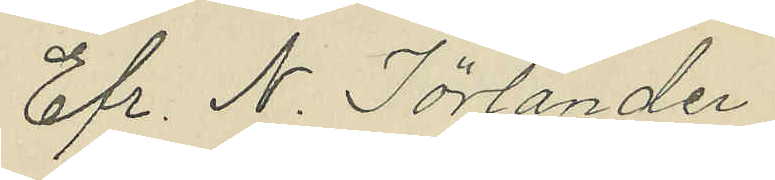Efr. N. Törlander
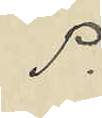P.
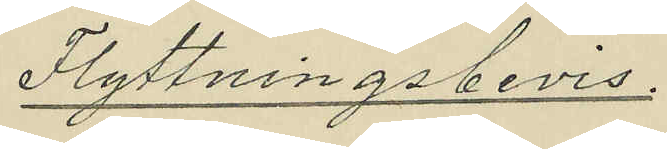Flyttningsbevis.
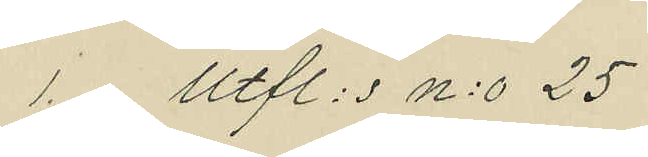1. Utfl: s N:o 25
